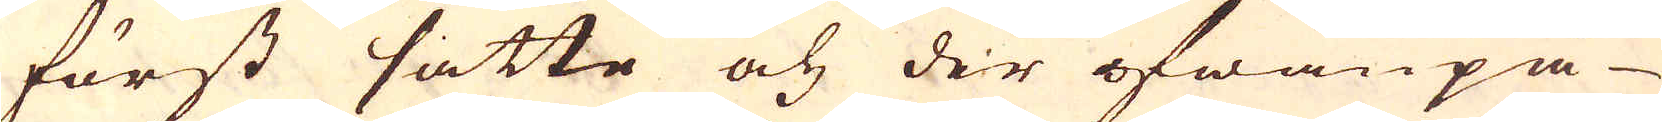först satte och der ofwanpå
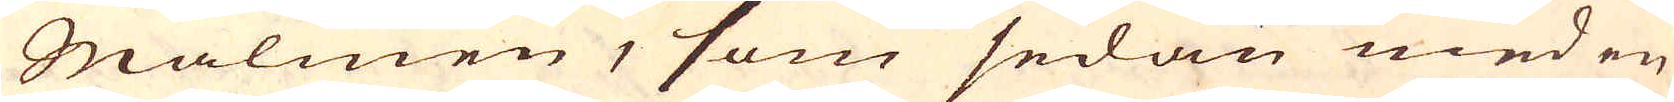Malmen, som sedan med en
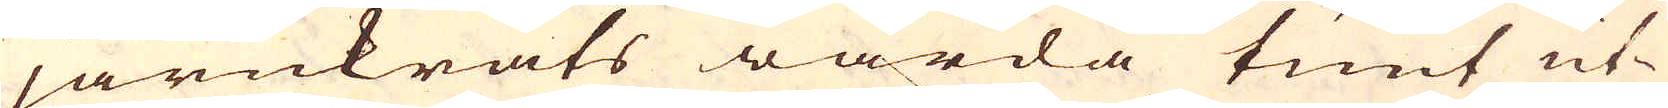järnkrats warda tunt ut-
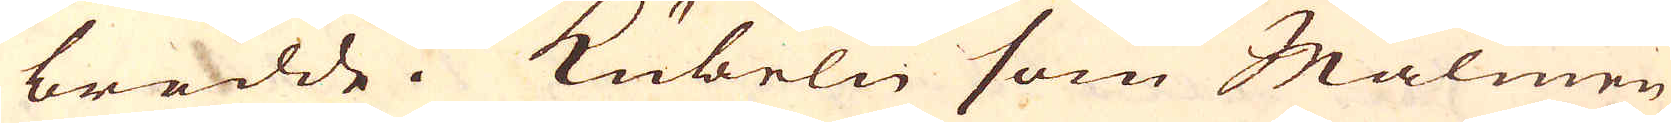bredde. Kübeln som Malmen
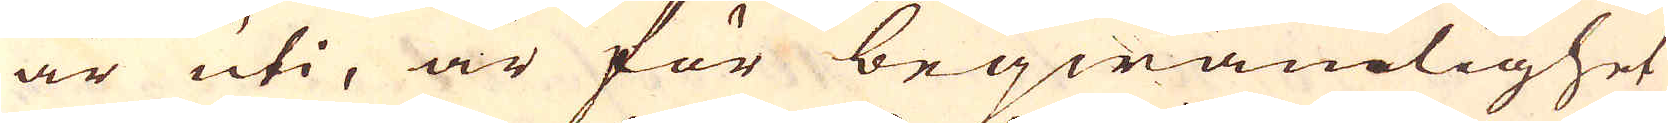är uti, är för beqwämlighet
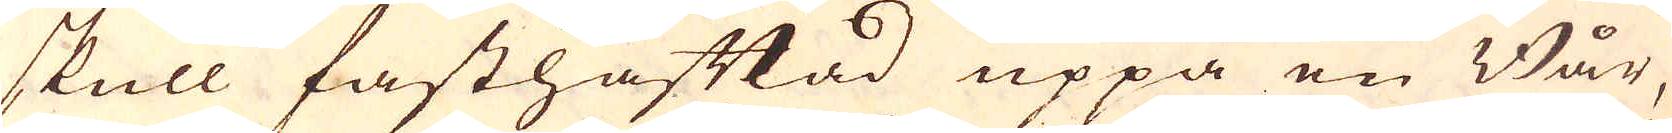skull fasthäftad uppå en Bår,
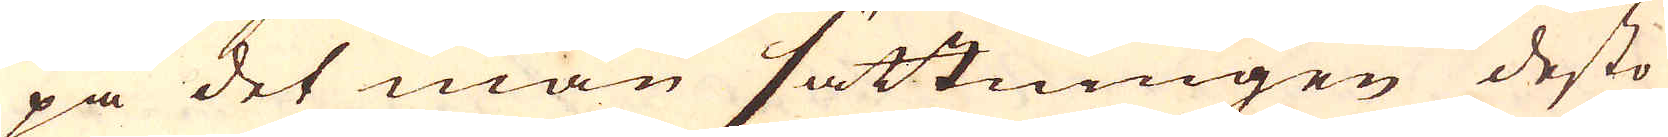på det man sättningen desto
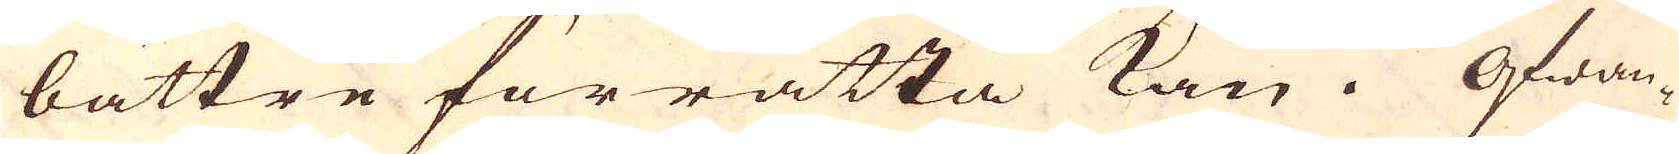bättre förrätta kan. Ofwan-
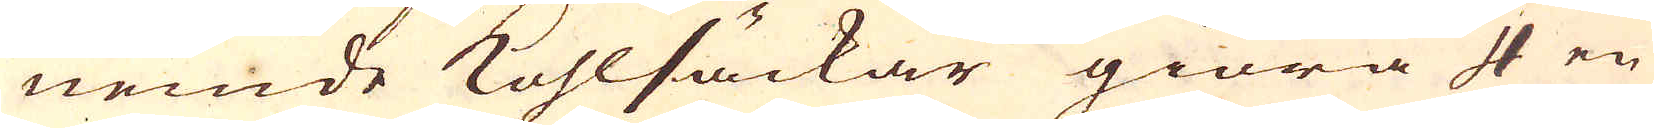nemde kohlsäckar giöra 4 en
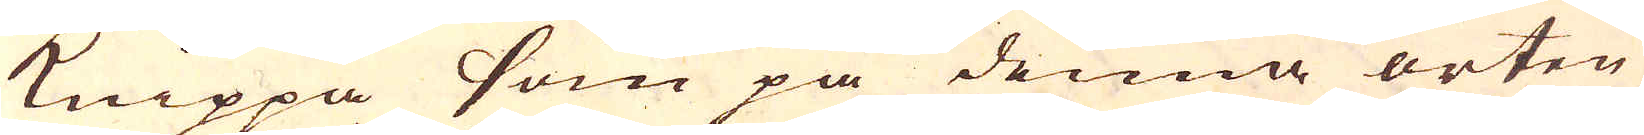knippa Som på denna orten
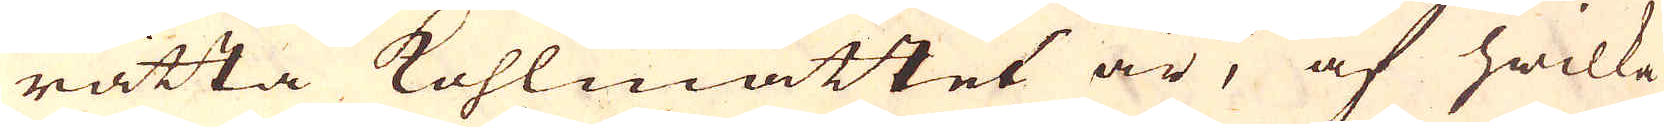rätta kohlmåttet är, af hwilka
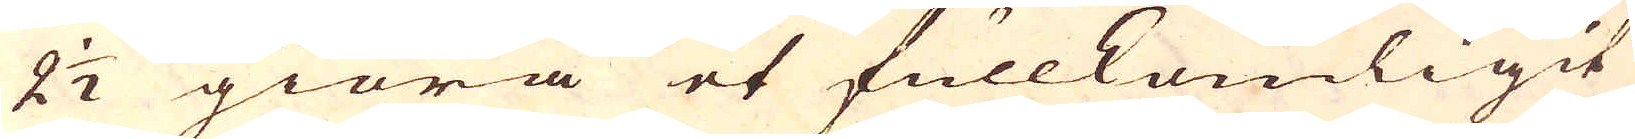2 1/2 giöra et fullkomligit
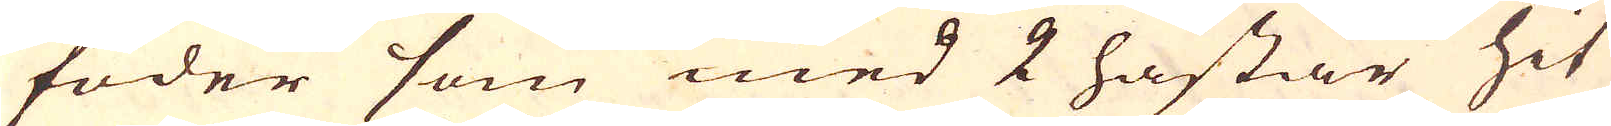foder som med 2 hästar hit
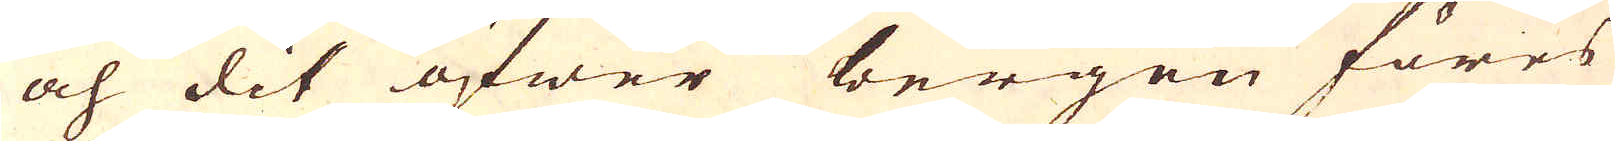och dit öfwer bergen föres
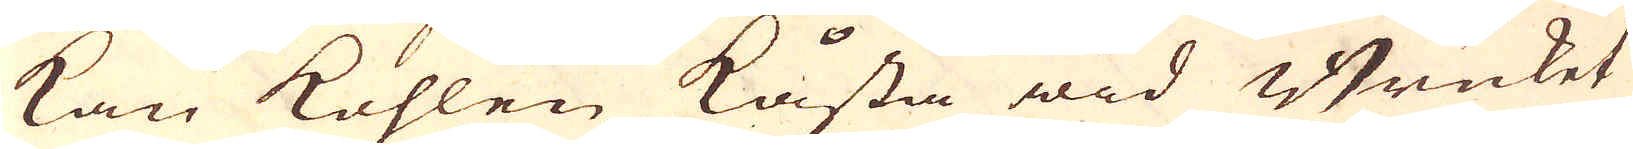kan kohlen kåsta wid Bruket
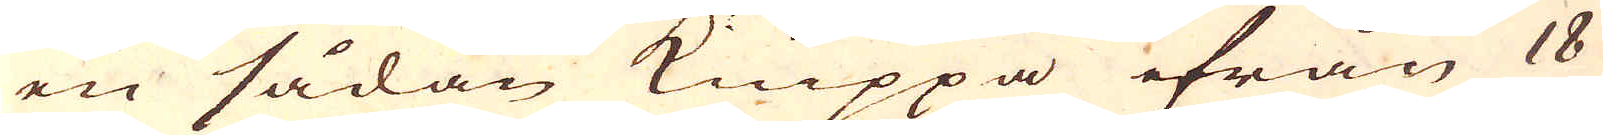en sådan knippa ifrån 18
